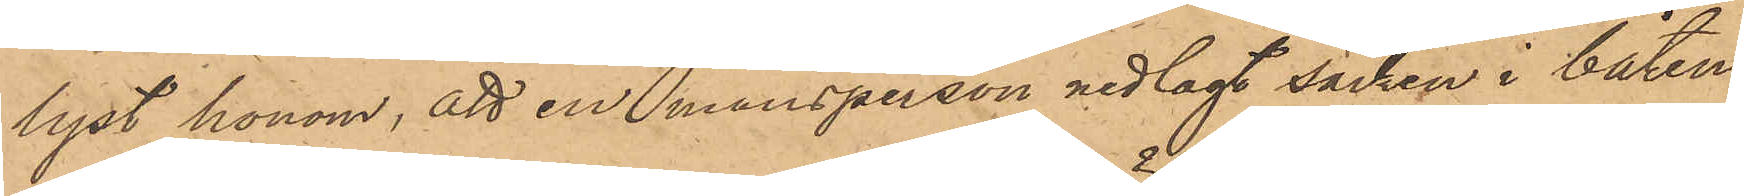lyst honom, att en mansperson nedlagt säcken i båten
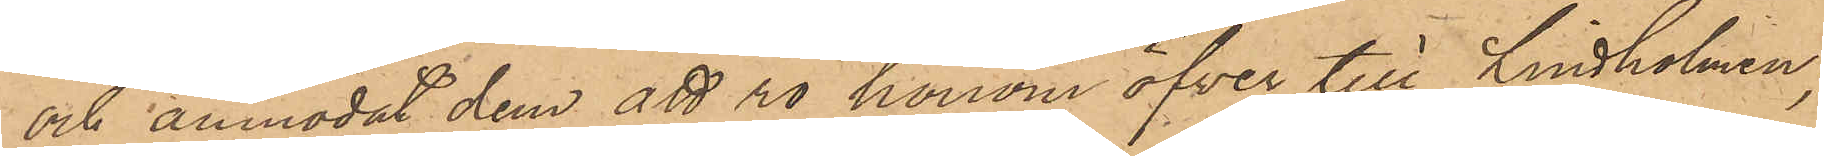och anmodat dem att ro honom öfver till Lindholmen;
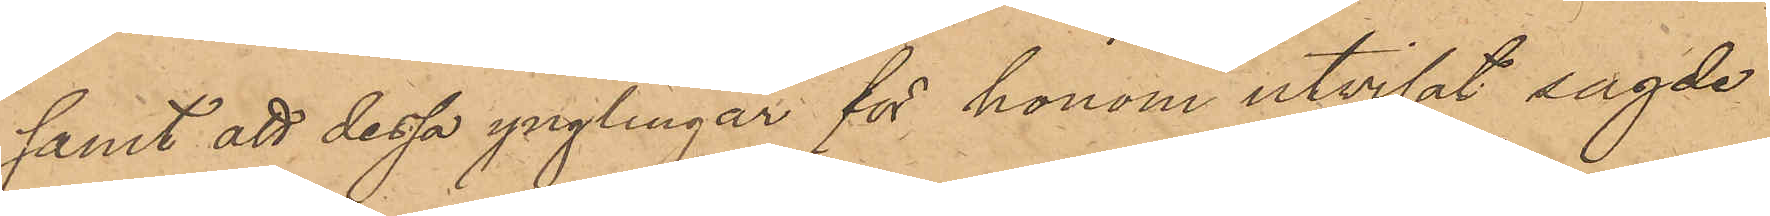samt att dessa ynglingar för honom utvisat sagde
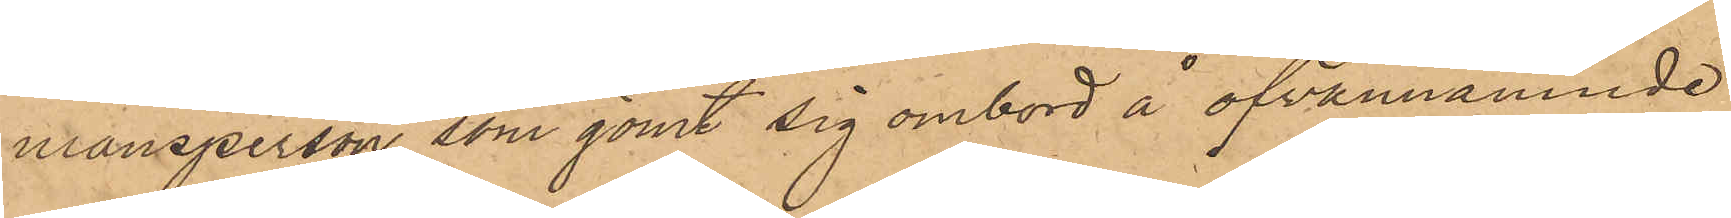mansperson, som gömt sig ombord å ofvannämnde
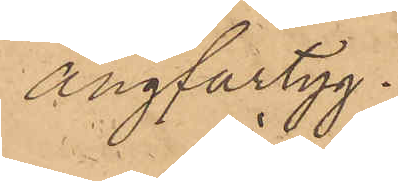ångfartyg.
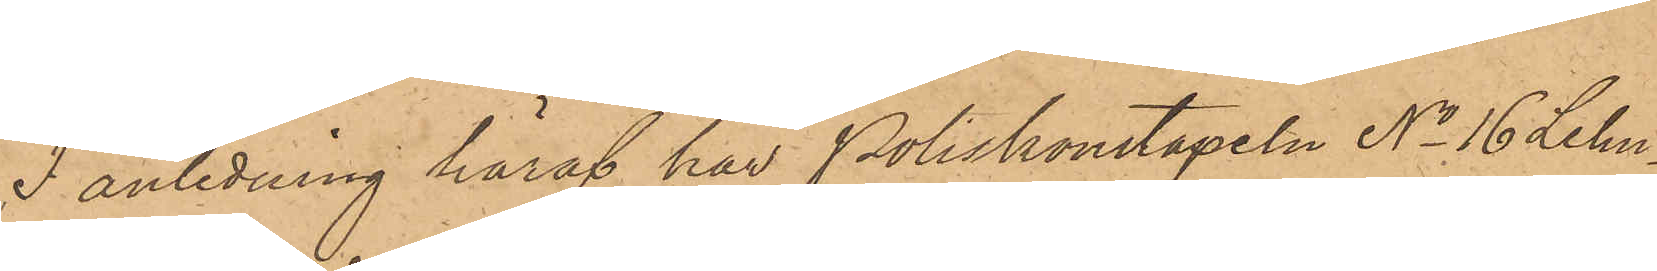I anledning häraf har Poliskonstapeln No 16 Lehn¬
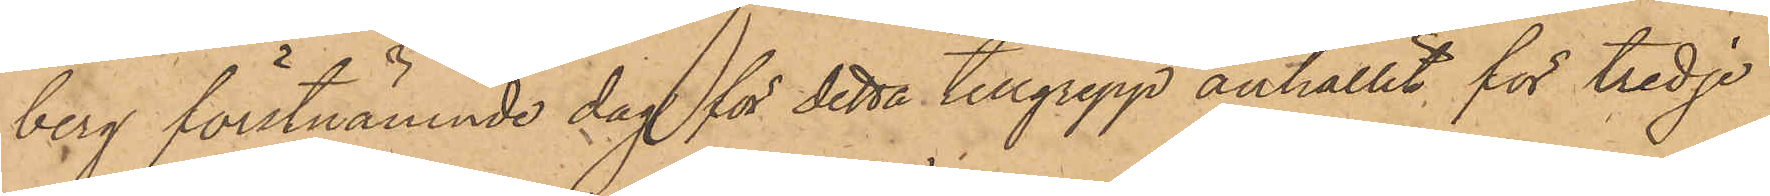berg förstnämnde dag för detta tillgrepp anhållit för tredje
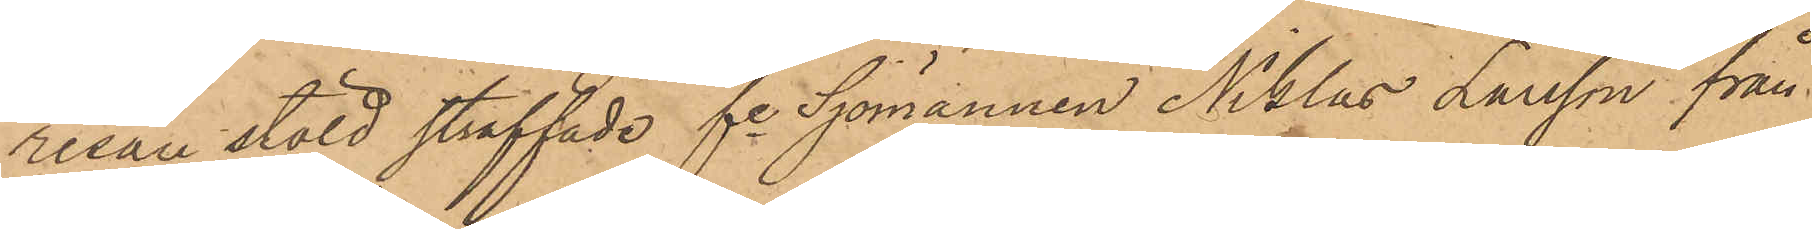resan stöld straffade fre Sjömannen Niklas Larsson från
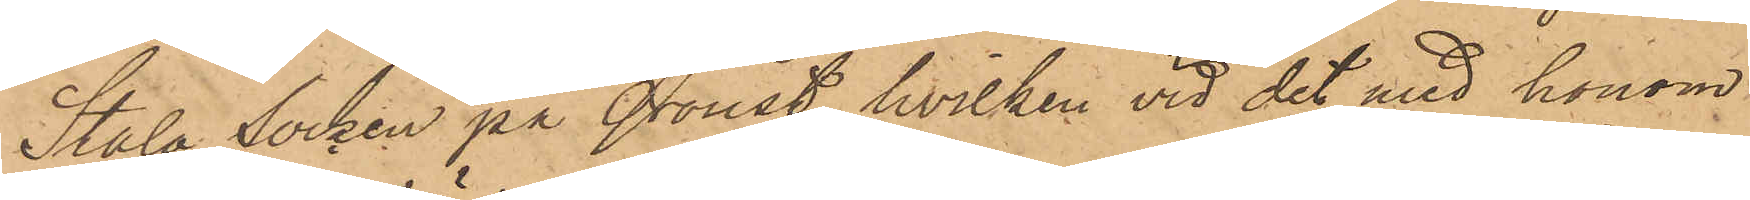Stala Socken på Oroust, hvilken vid det med honom
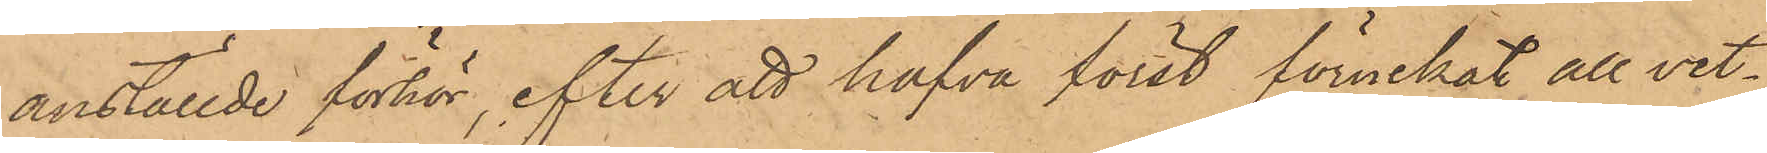anställde förhör, efter att hafva först förnekat all vet¬
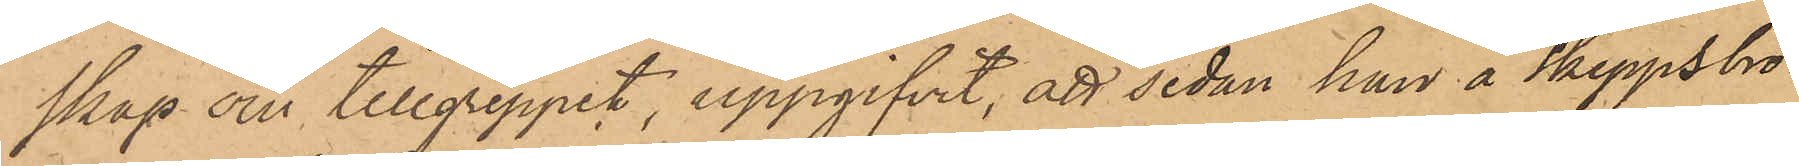skap om tillgreppet, uppgifvit, att sedan han å Skeppsbro¬
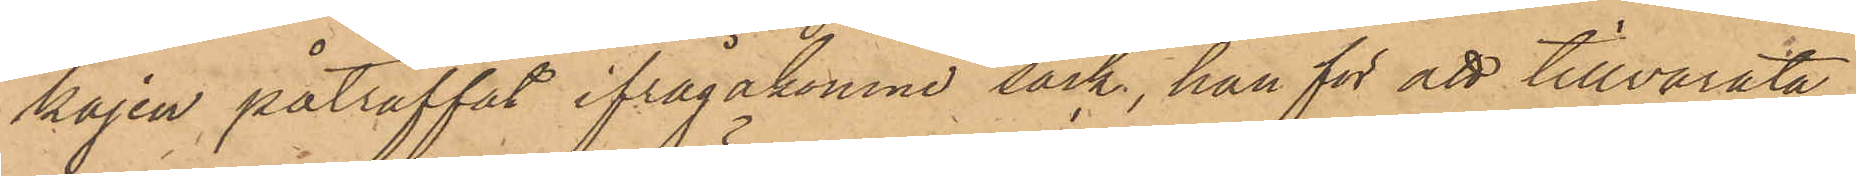kajen påträffat ifrågakomne säck, han för att tillvarata¬
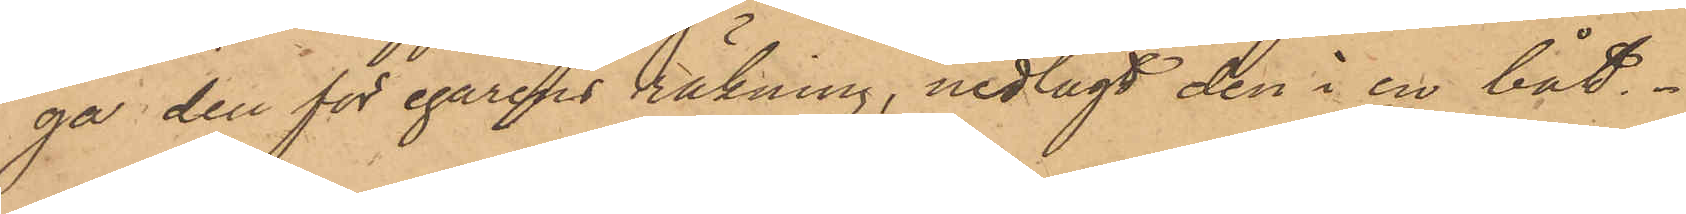ga den för egarens räkning, nedlagt den i en båt.
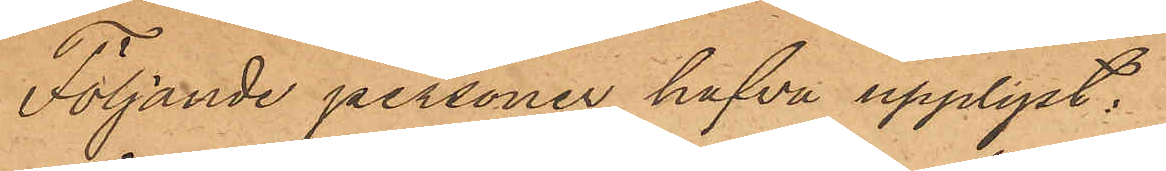Följande personer hafva upplyst:
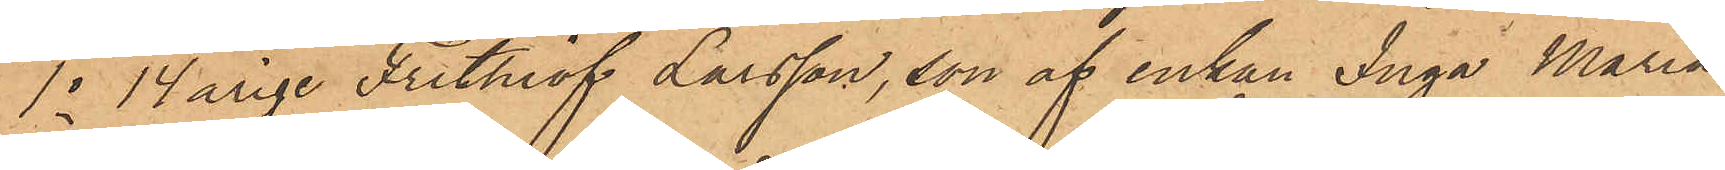1o 14årige Frithiof Larsson, son af enkan Inga Maria
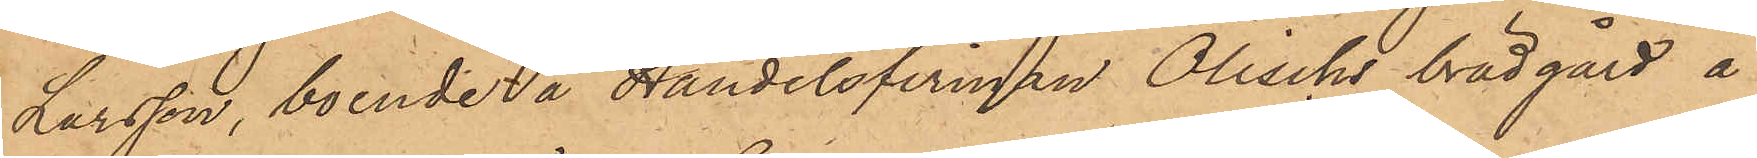Larsson, boende å Handelsfirman Ölischs brädgård å
